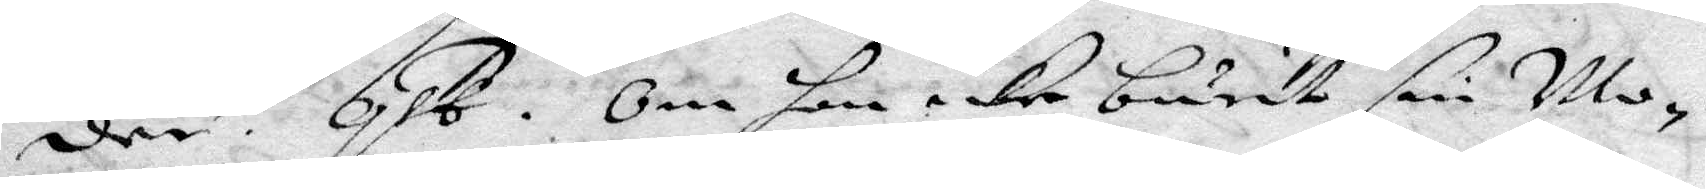den. qst. Om hon icke burit sin Mo¬
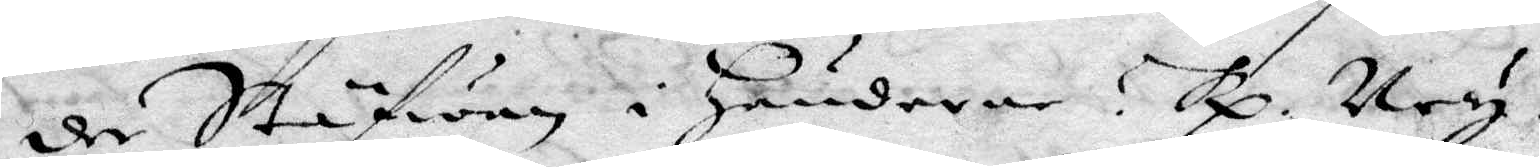de Stäfwen i händerne? Rp. Ney.
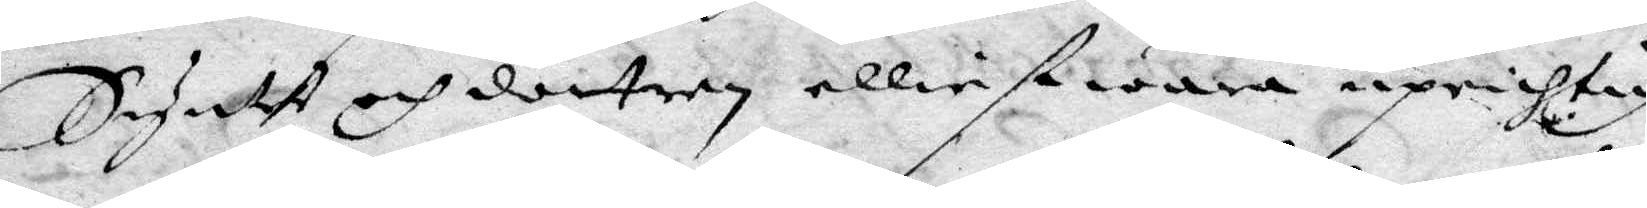Syntet och dottren elliest wara uprichtig
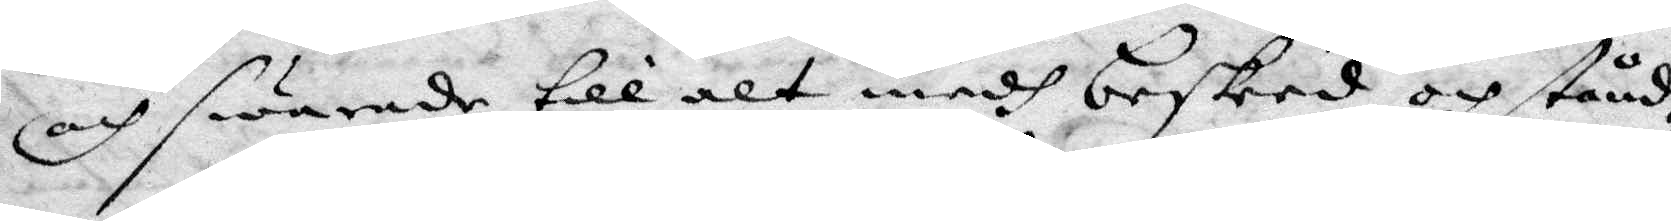och swarade till alt medh beskeed och stånd¬
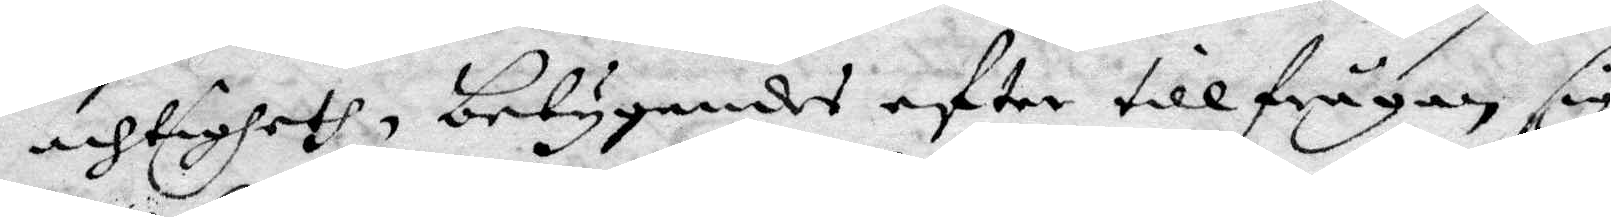achtigheth, betygandes eftter tillfrågan sig
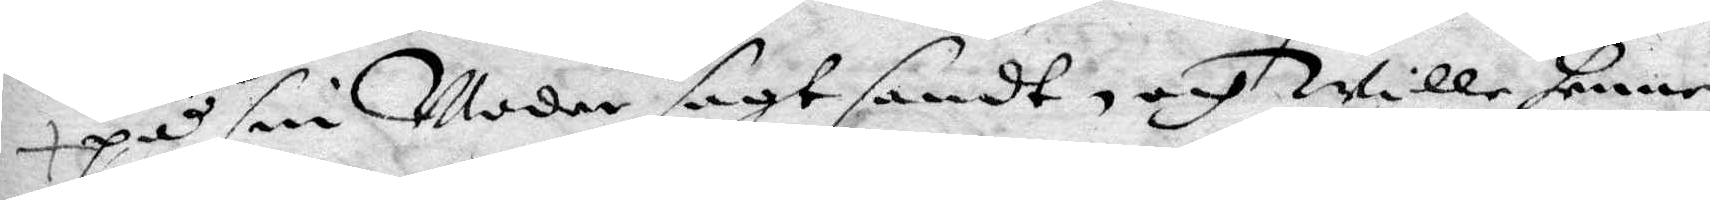på sin Moder sagt sandt, och wille henne
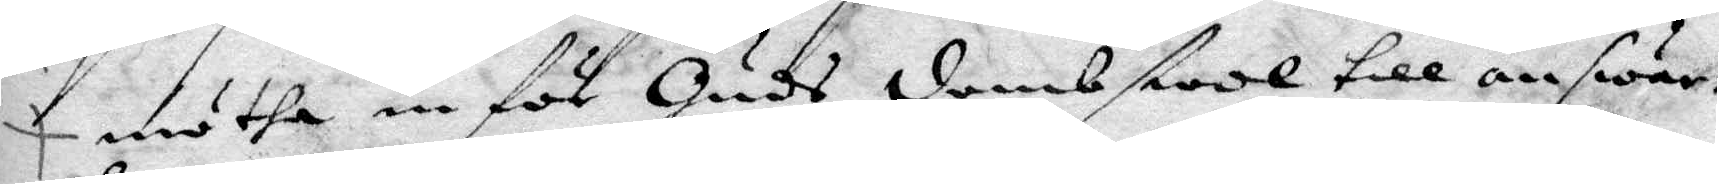mötha in för Guds dombstool till answar.
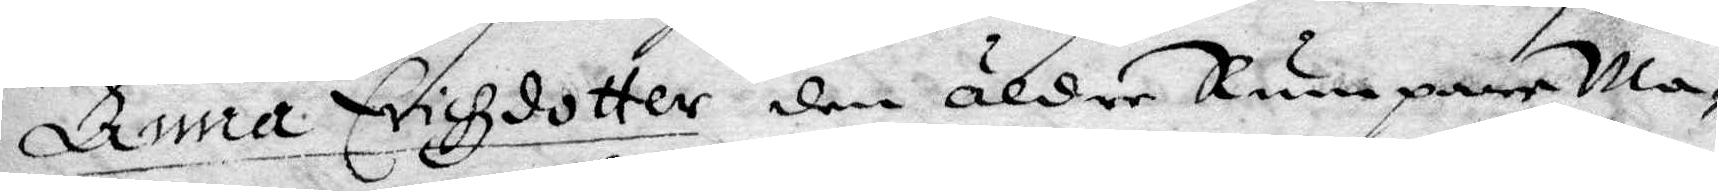Anna Erichzdotter den äldre Rumpare Ma¬
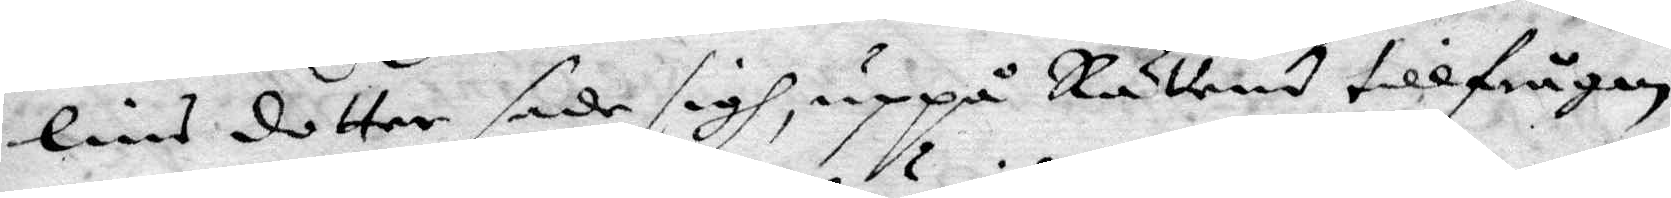lins dotter sade sig uppå Rättens tillfrågan
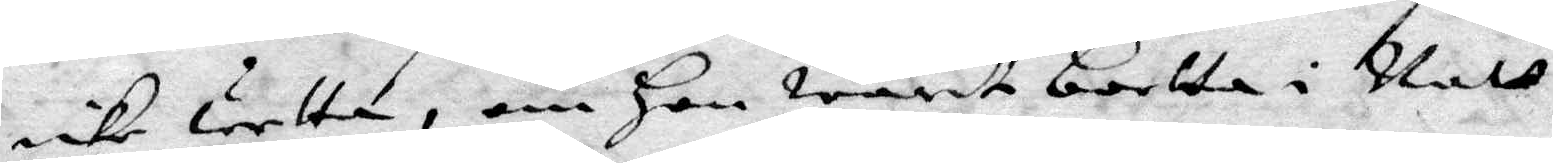icke wetta, om Hon warit bortta i Natt,
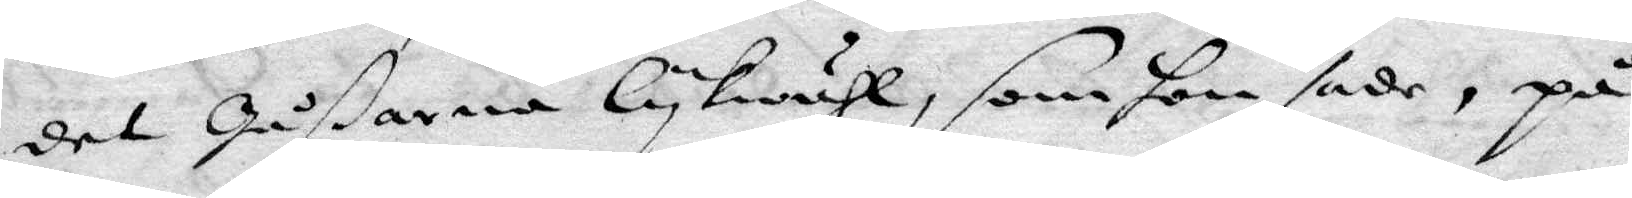det gåßarna lykwähl, som hon sade, på
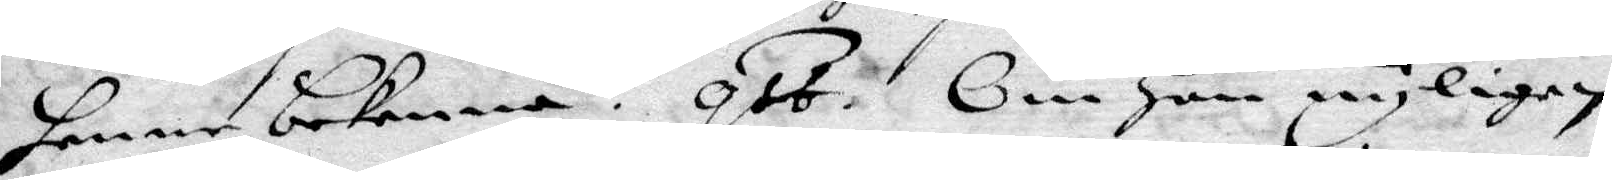henne bekenna. qst. Om Hon nyligen
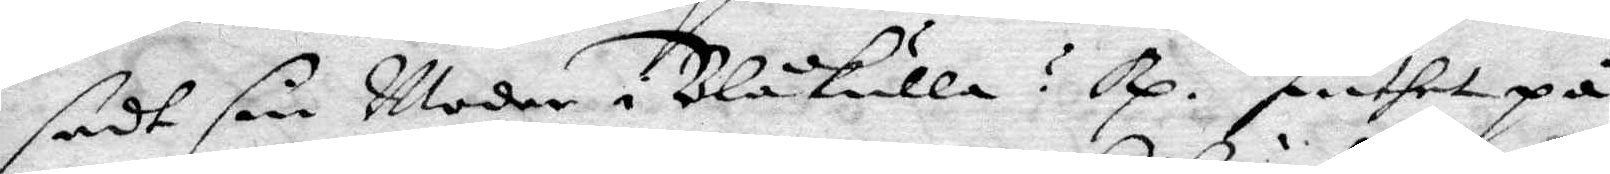sedt sin Moder i Blåkulla? Rp. Intet på
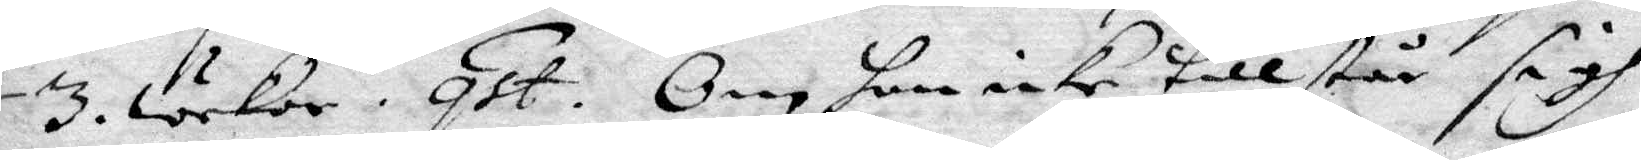3. wekor. qst. Om Hon icke tillstår sigh
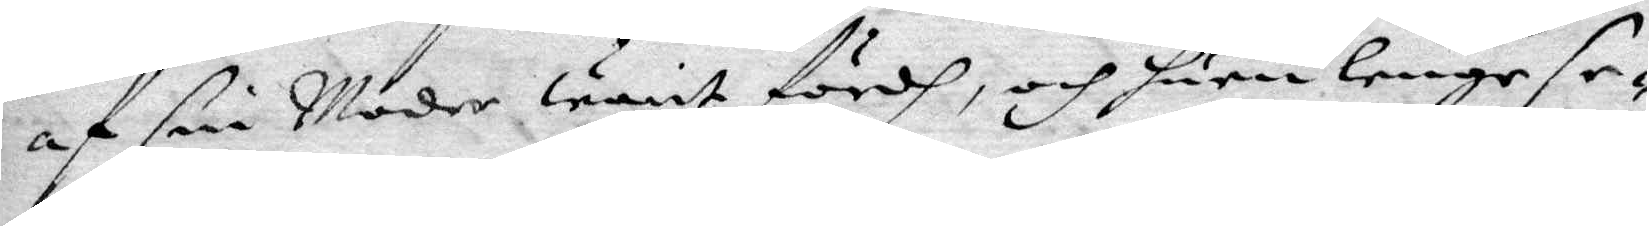af sin Moder warit fördh, och huru lenge se¬
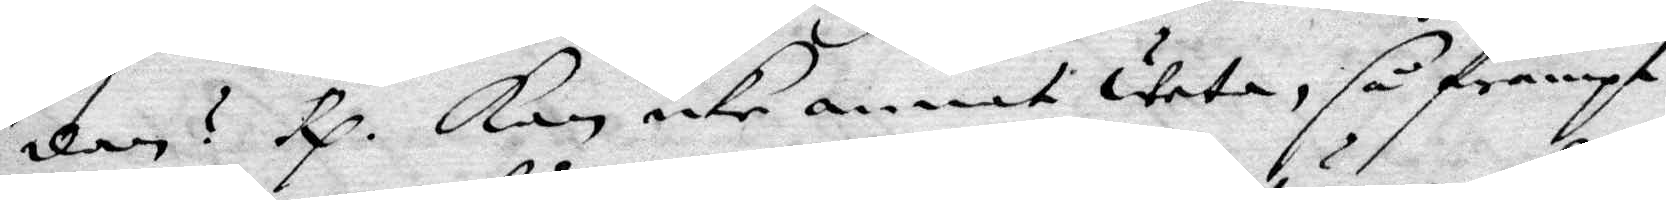dan? Rp. Kan icke annat weta, så frampt
